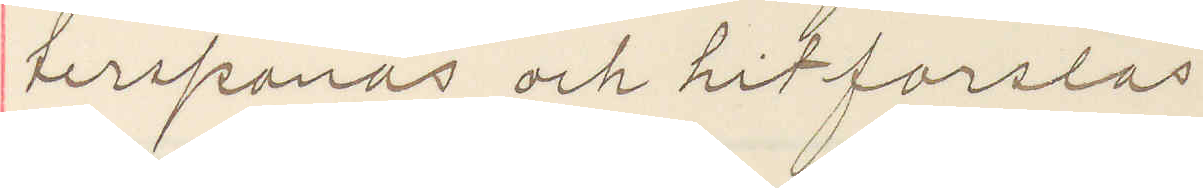terspanas och hitforslas
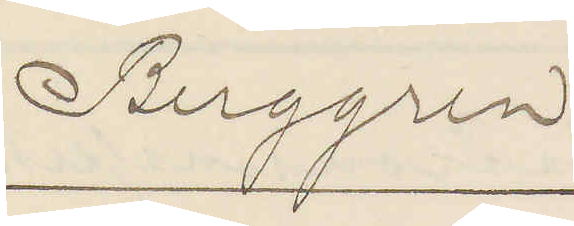Berggren.
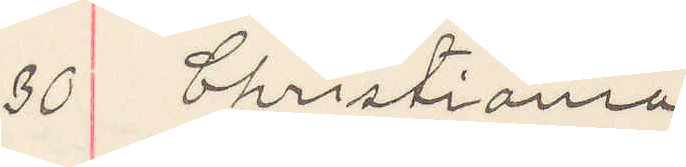30 Christiania
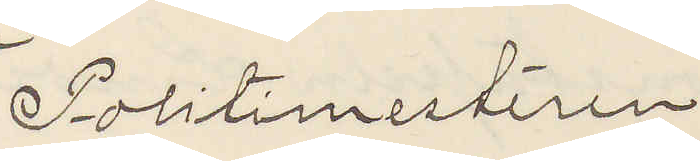Politimesteren
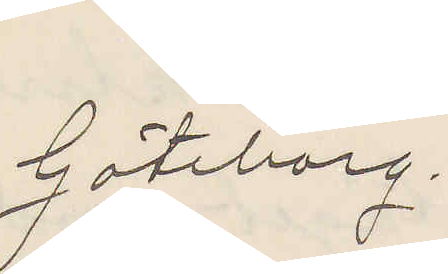Göteborg.
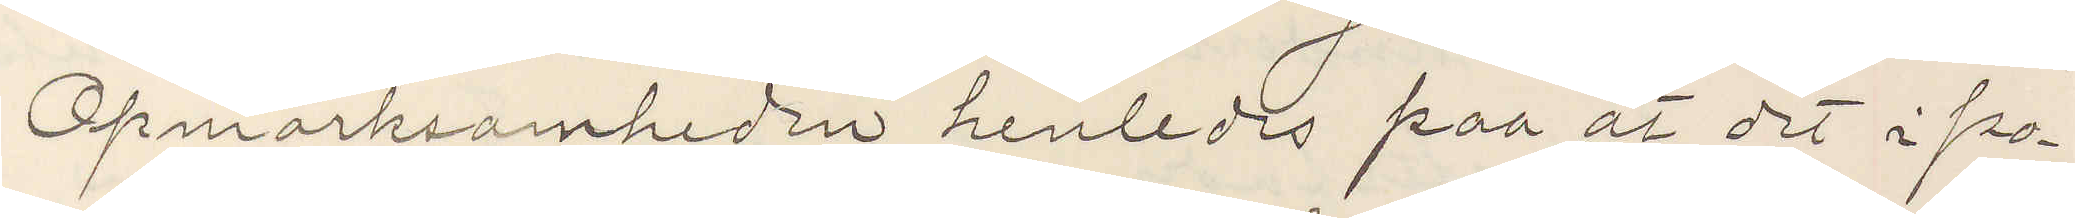Opmärksamheden henledes paa at det i po¬
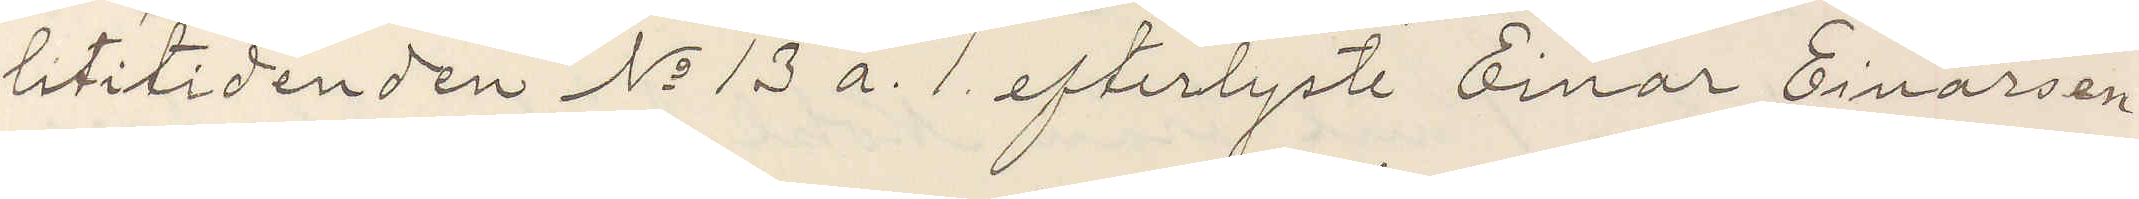litidenden No 13 a. 1 efterlyste Einar Einarsen
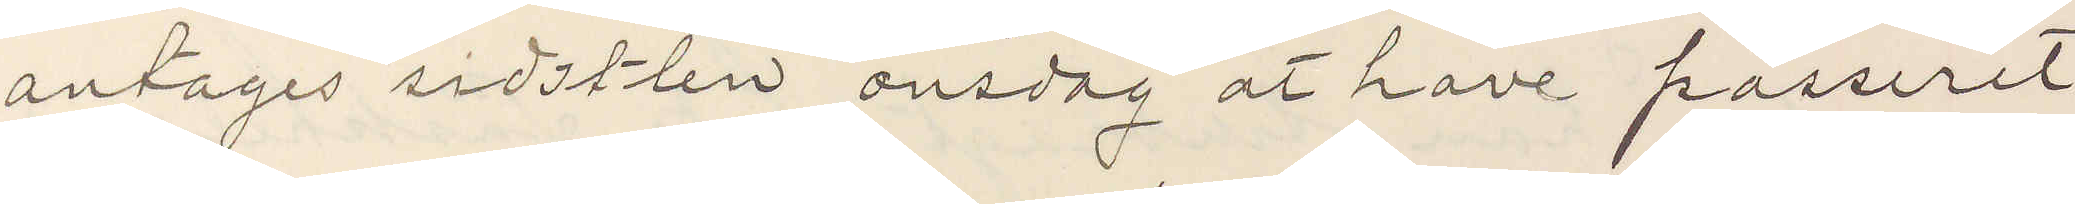antages sidstlen onsdag at have passeret
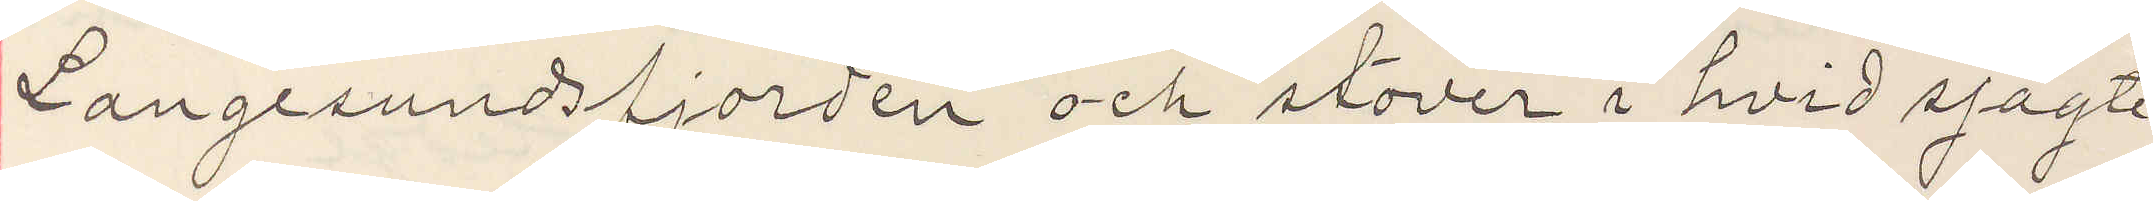Langesundsfjorden och stöver i hvid sjågte
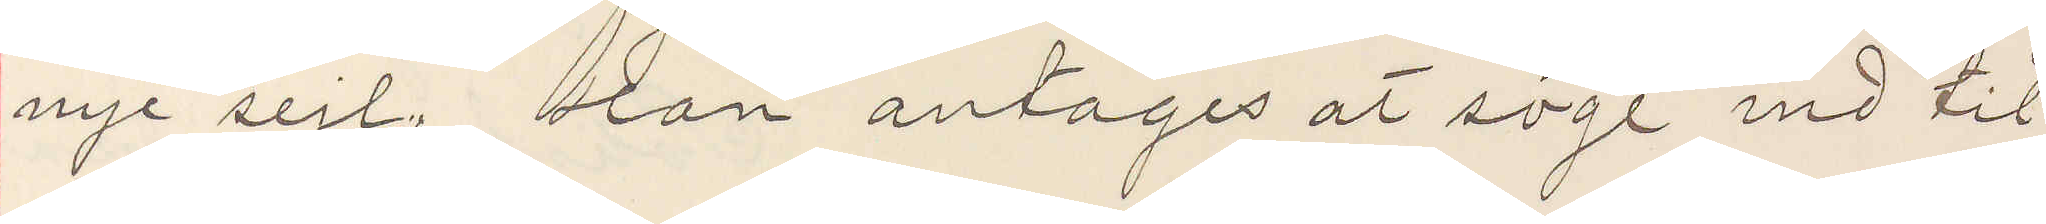nye seil. Han antages at söge ind til
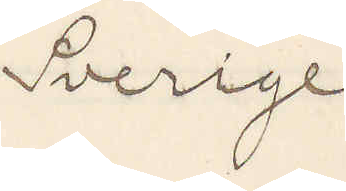Sverige
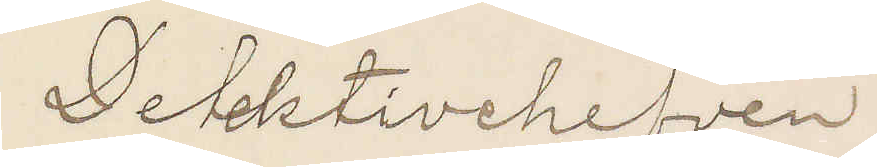Detektivchefven
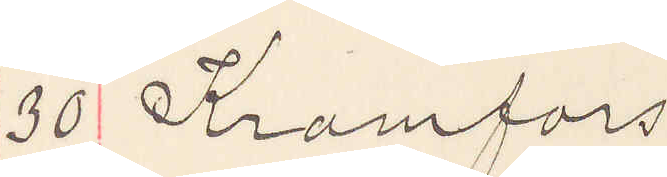30 Kramfors
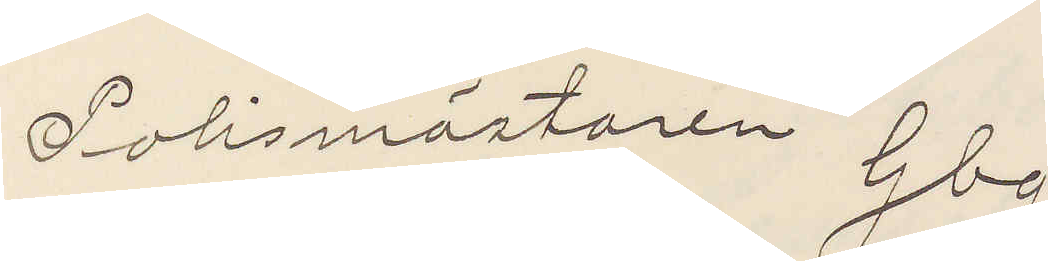Polismästaren Gbg
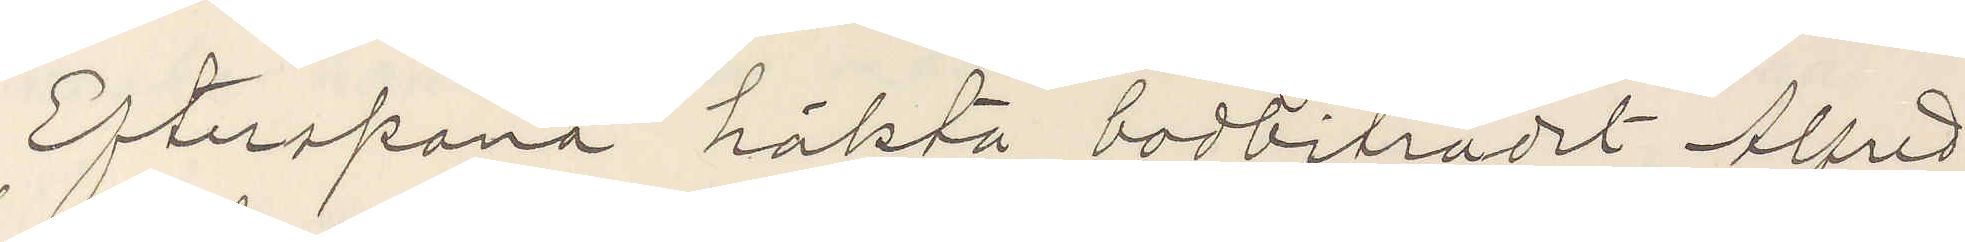Efterspana häkta bodbiträdet Alfred
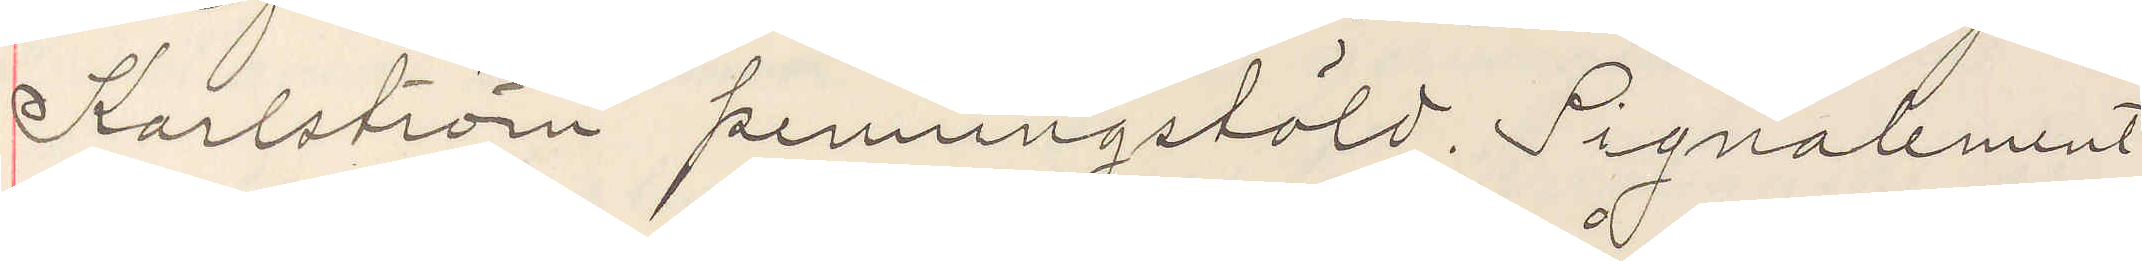Karlström penningstöld. Signalement
